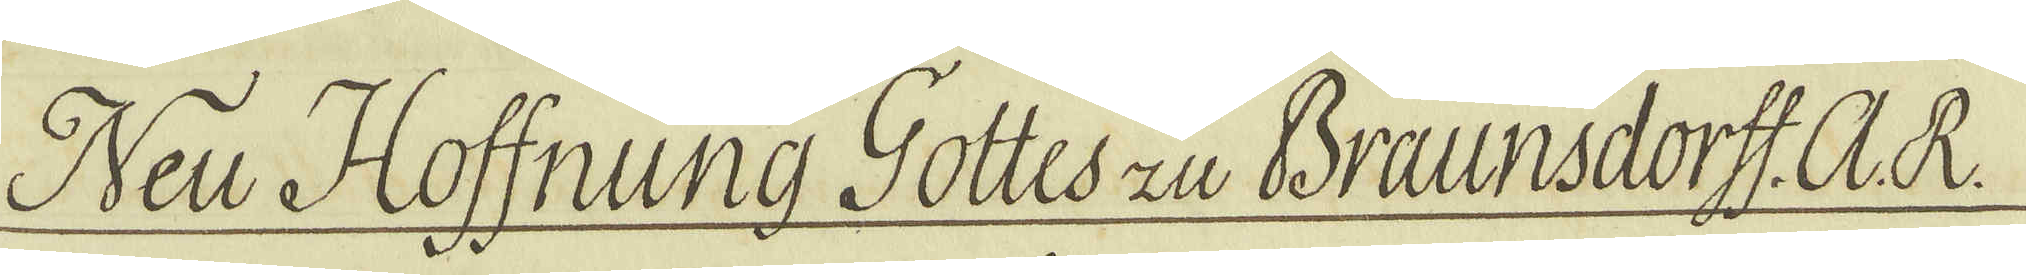Neu Hoffnung Gottes zu Braunsdorff. A. R
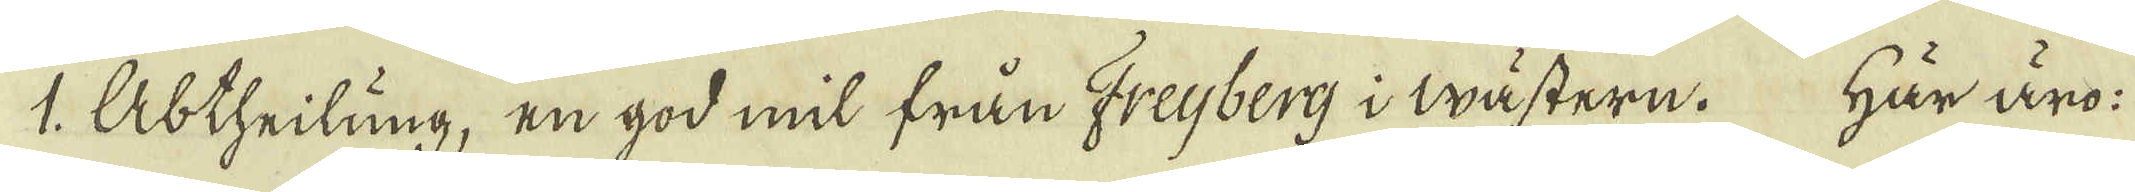1. Abtheilung, en god mil från Freijberg i ästern. Här äro
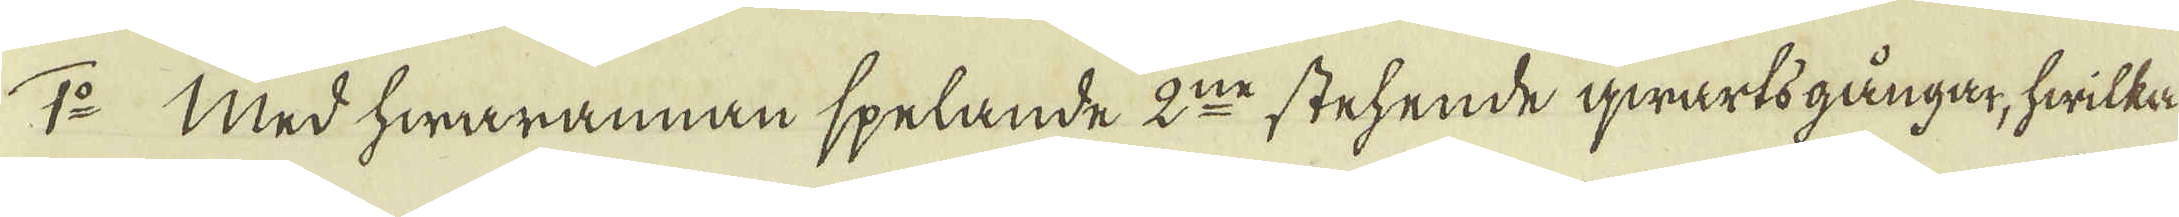1:o Med hwarannan spelande 2:ne stehende qwartsgångar, hwilka
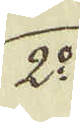2:o
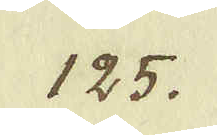125.
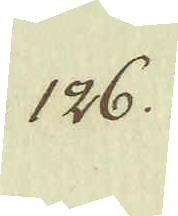126.
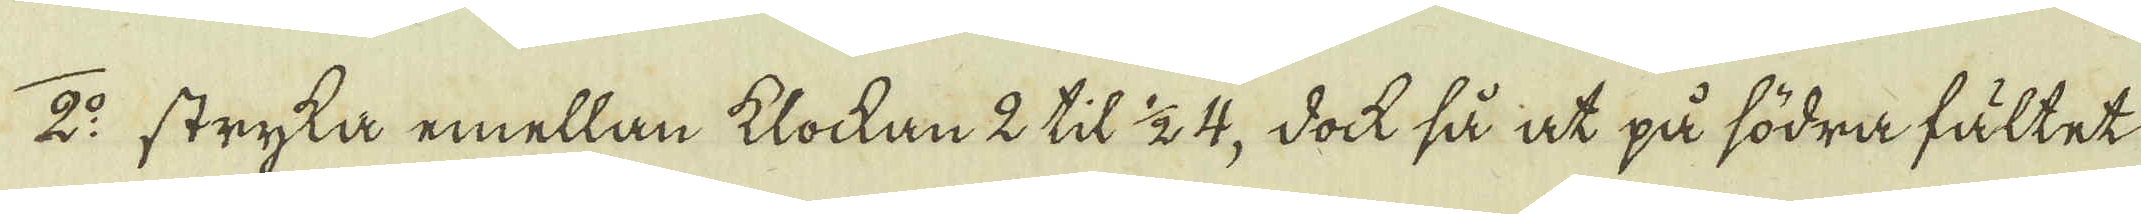2:o stryka emellan klockan 2 til 1/2 4, dock så at på södra fältet
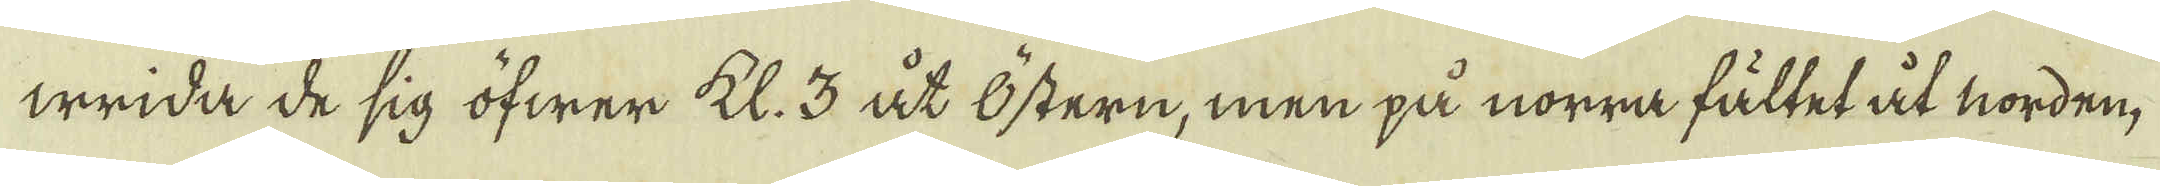wrida de sig öfwer Kl. 3 åt östern, men på norra fältet åt norden,
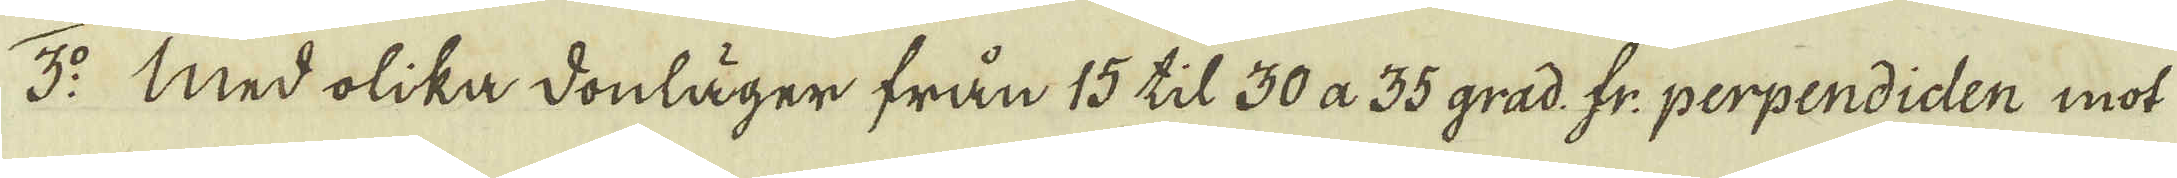3:o Med olika donläger från 15 til 30 a 35 grad: fr: perpendiden mot
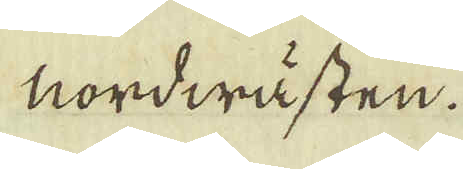nordwästen.
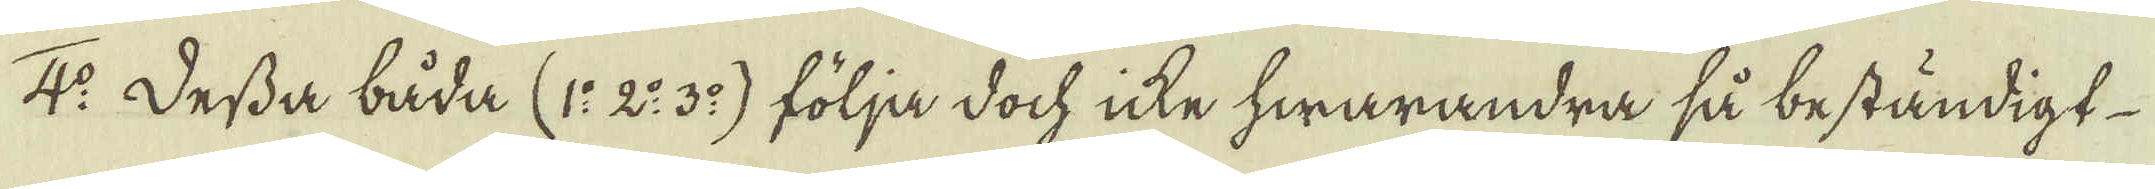4:o Dessa båda (1:o 2:o 3:o) följa doch icke hwarandra så beständigt
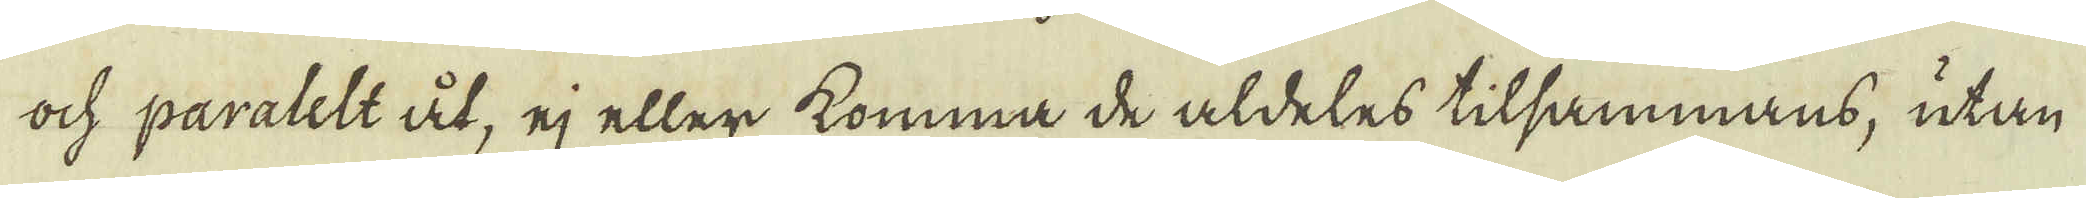ock paralelt åt, ej eller komma de aldeles tilsammans, utan
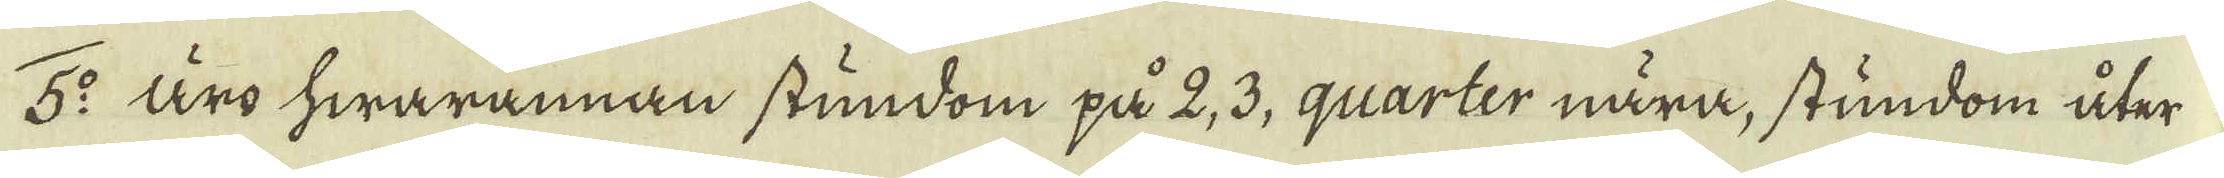5:o Äro hwarannan stundom på 2, 3, quarter nära, stundom åter
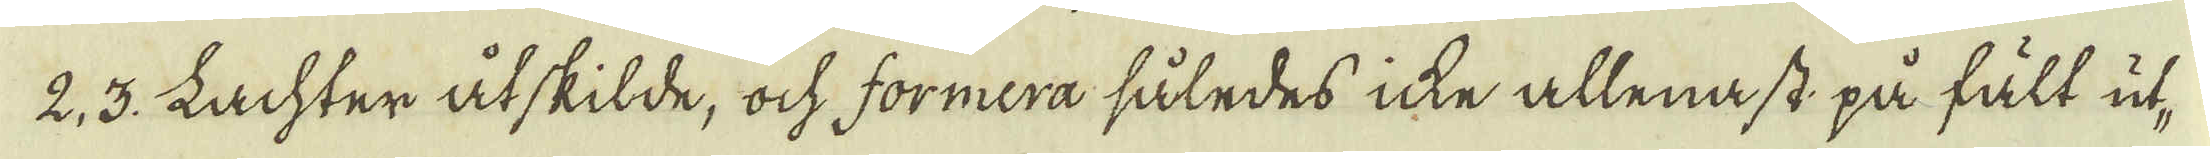2, 3. Lachter åtskilde, ock formera således icke allenast på fält ut-
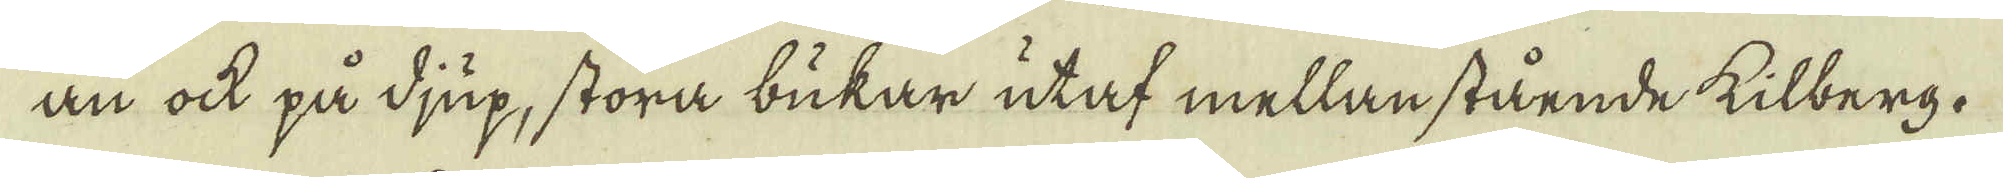an ock på djup, stora bukar utaf mellan stående kilberg.
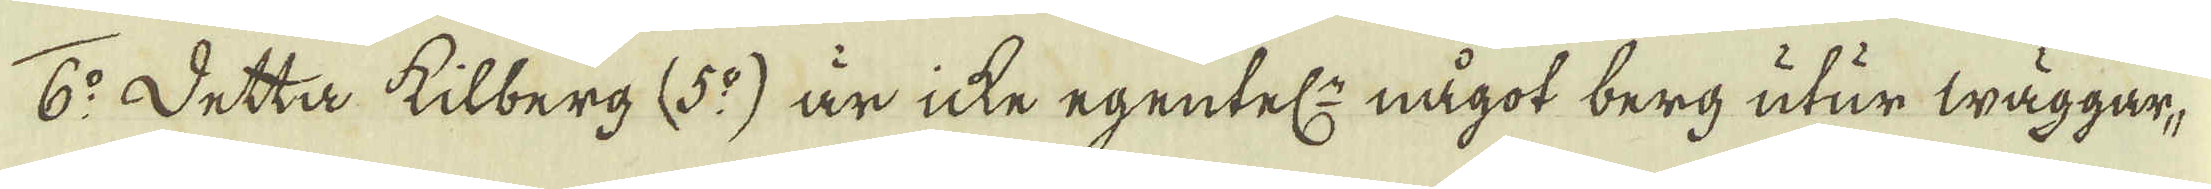6:o Detta kilberg (5:o) är icke egentel:n något berg utur wäggar,
